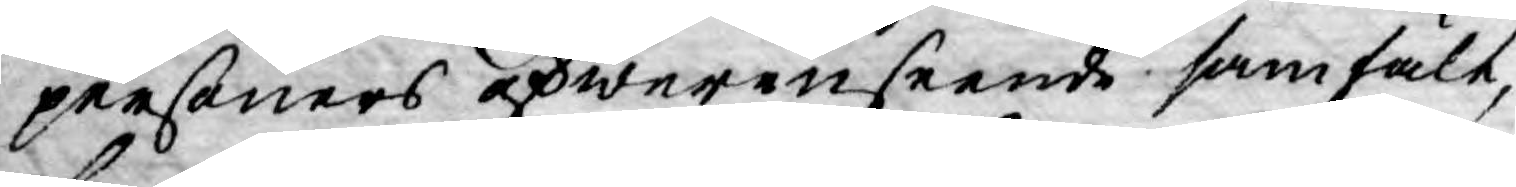personers öfwerinseende samfält,
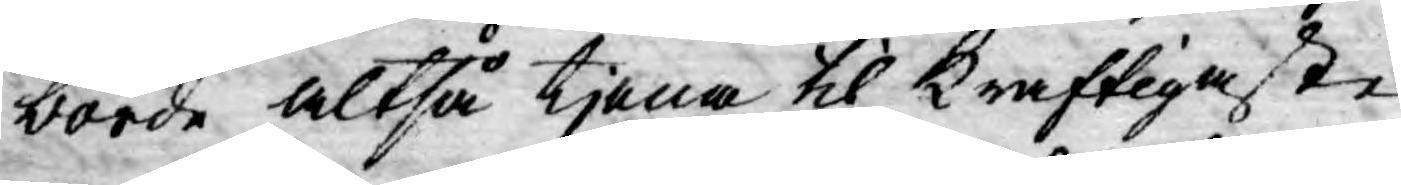borde altså tjena til kraftigaste
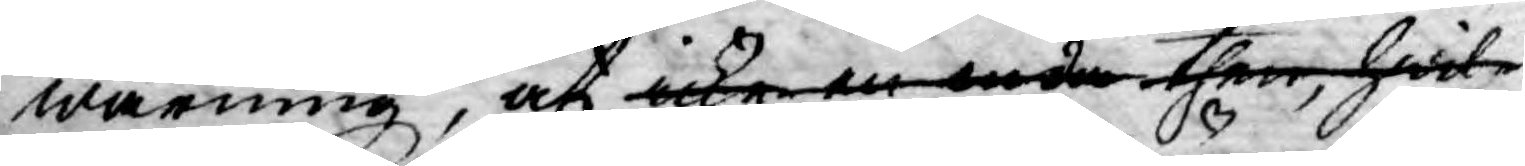warning, at icke en enda then, hwil¬
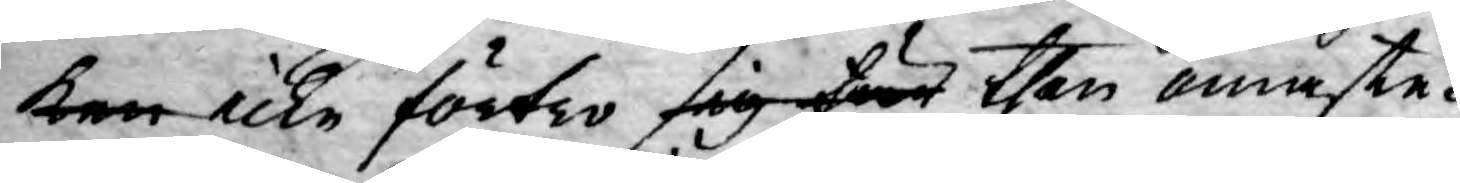ken icke förtro sig för then ömaste
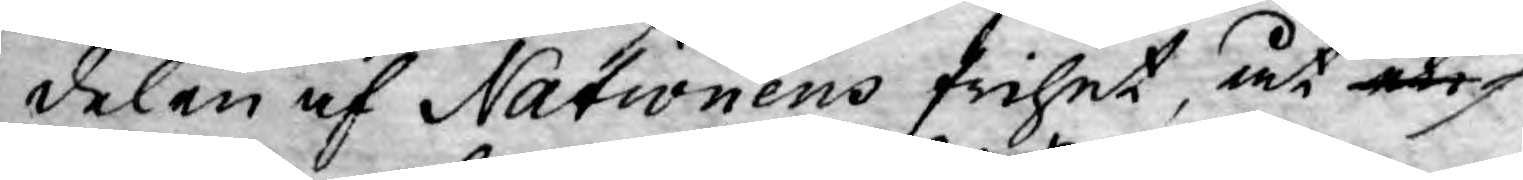delen af Nationens frihet, åt en
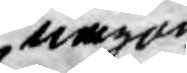någon
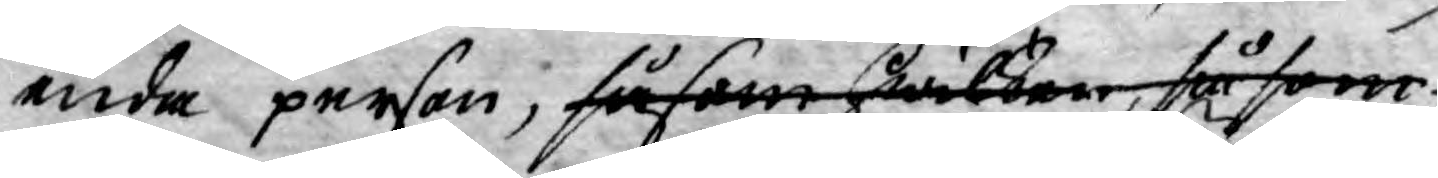enda person, såsom hwilken, såsom
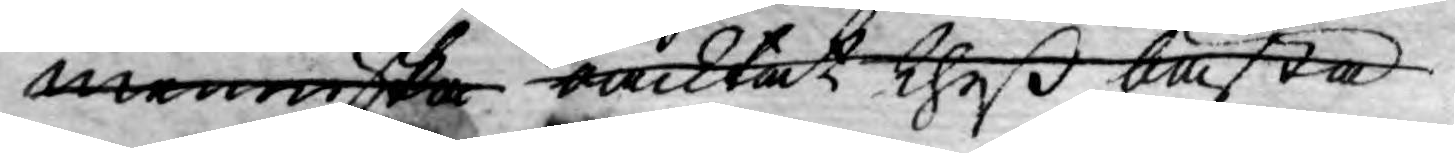menniska oacktat theß bästa
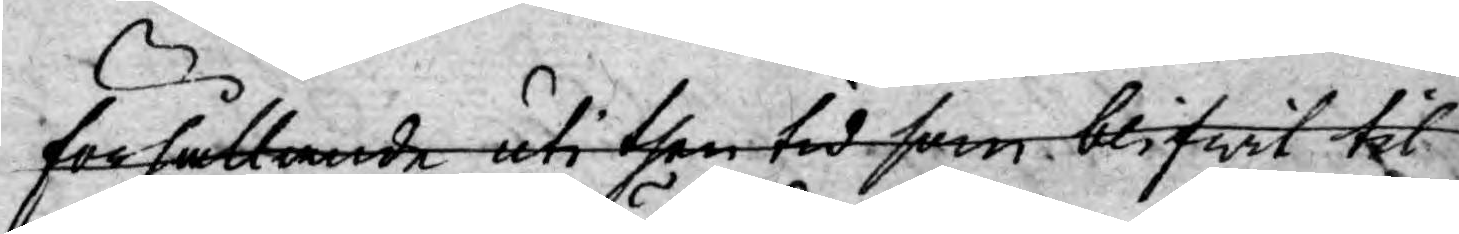förhållande uti then tid som blifwit til
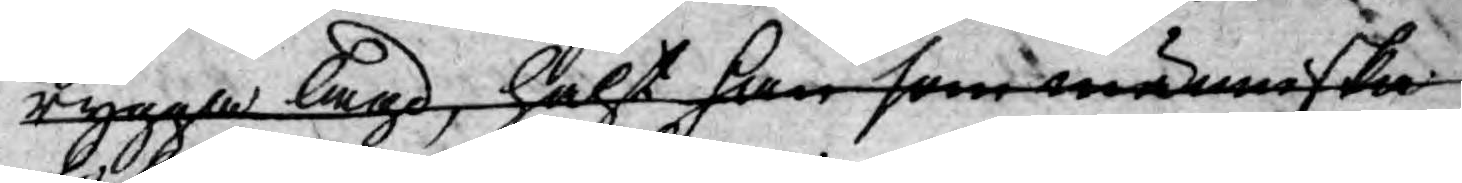rygga lagd, hälst han som människa
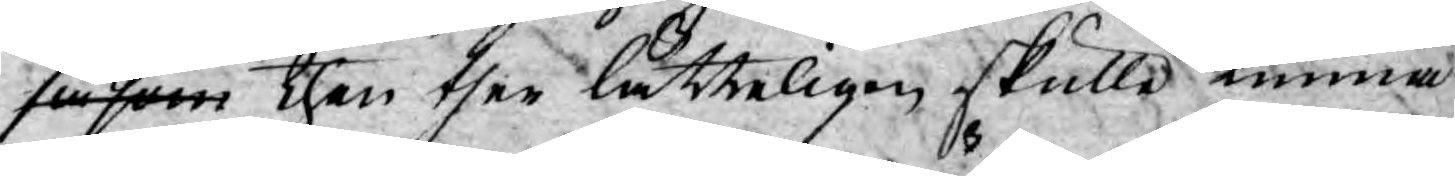såsom then ther lätteligen skulle kunna
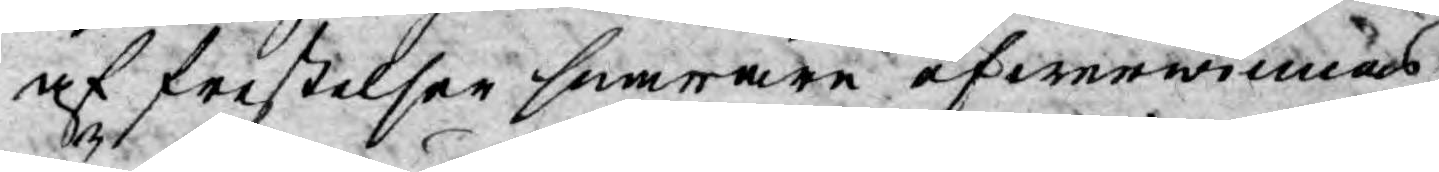af frestelser snarare öfwerwinnas,
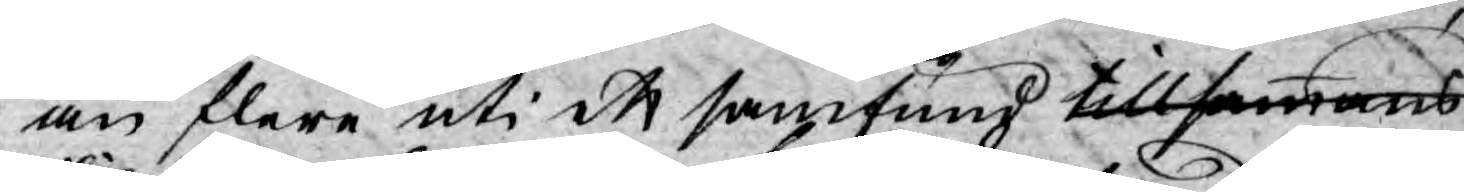än flere uti ett samfund tillsammans
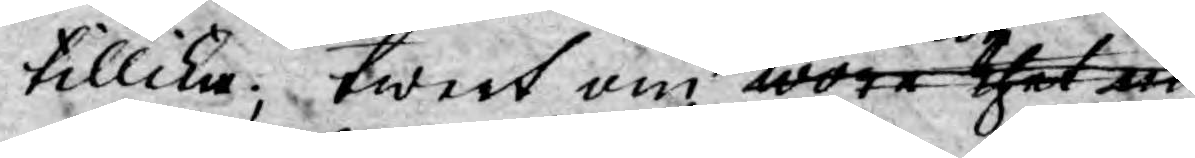tillika; twert om wore thet nöd
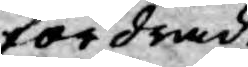fordrade
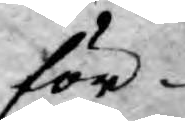för¬
